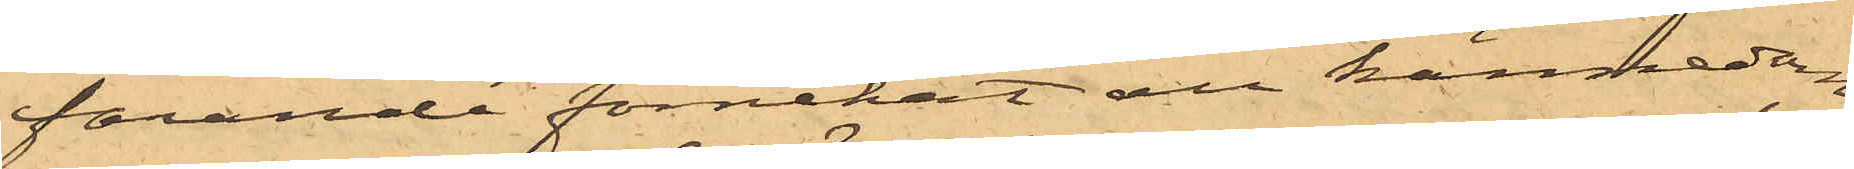farande förnekat all kännedom
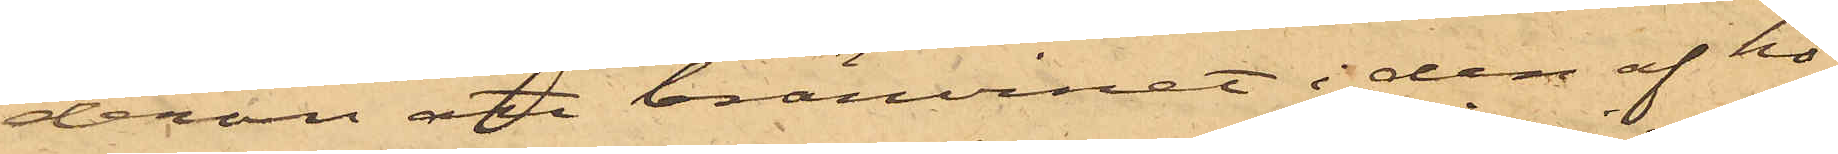derom att bränvinet i den af ho¬
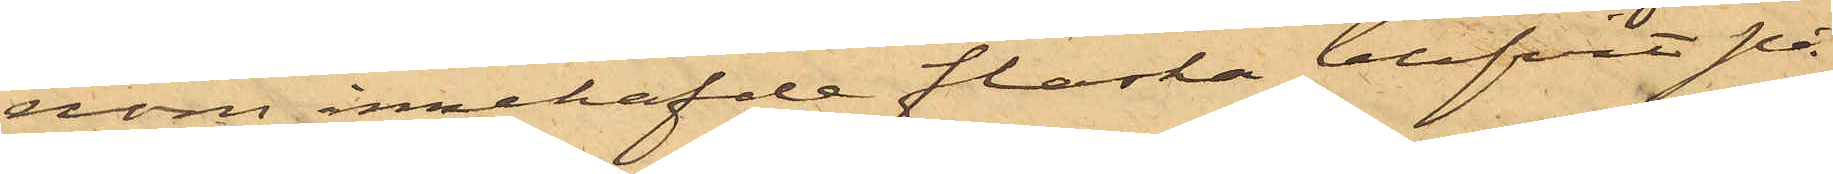nom innehafde flaska blifvit på
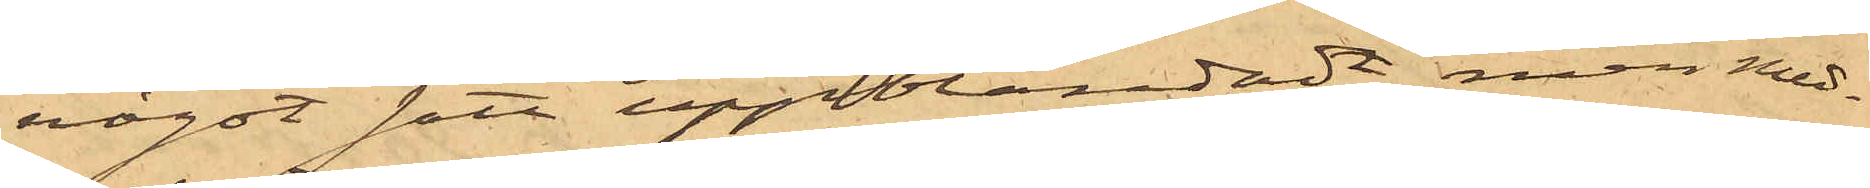något sätt uppblandadt, men med¬
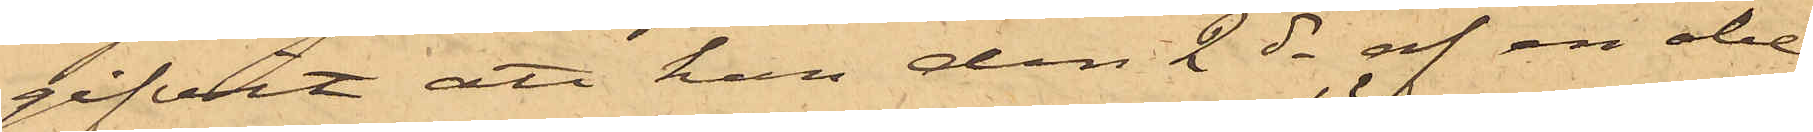gifvit att han den 2 ds af en obe¬
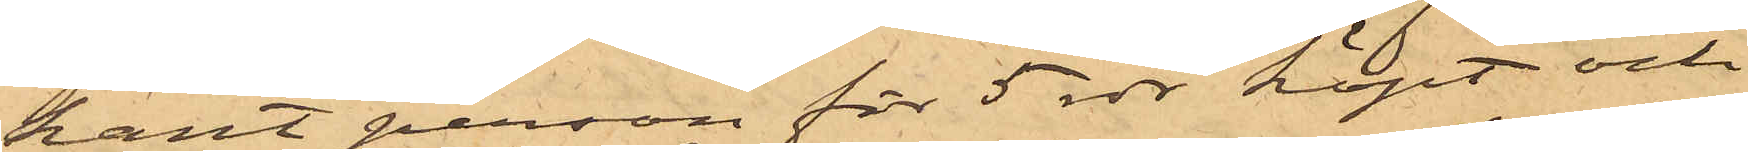kant person för 5 rdr köpt och
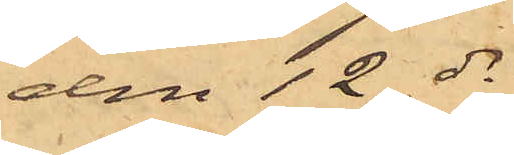den 12 ds
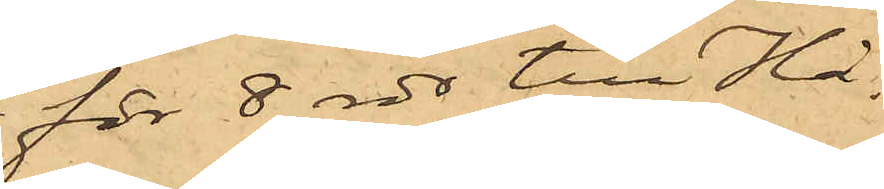för 8 rdr till Hå¬
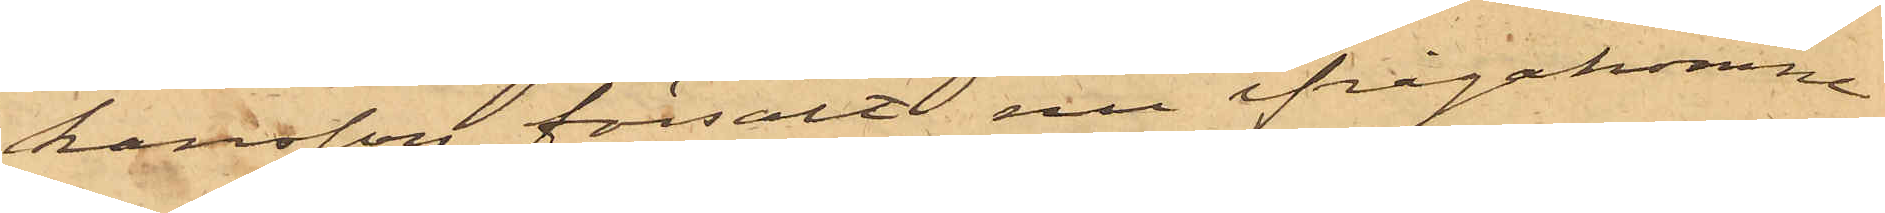kansson försålt nu ifrågakomne
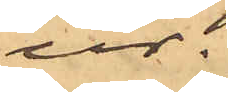ur;
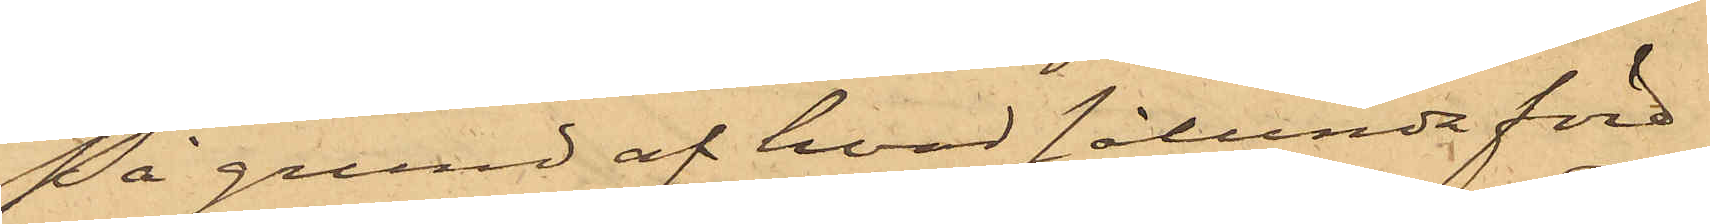På grund af hvad sålunda före¬
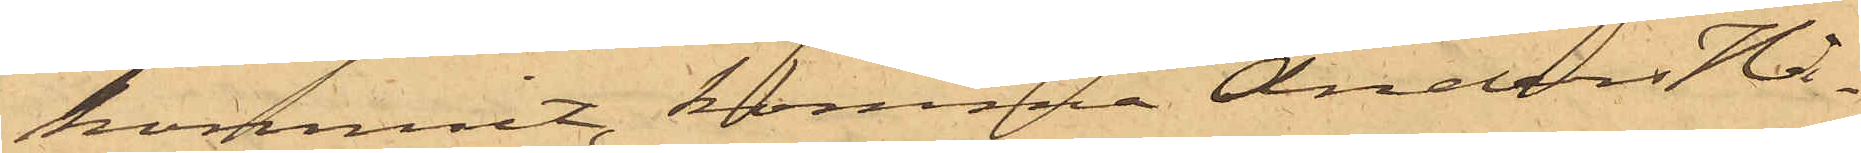kommit, komma Anders Hå¬
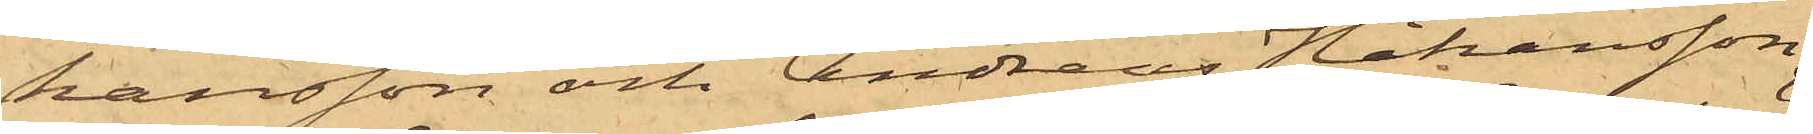kansson och Andreas Håkansson
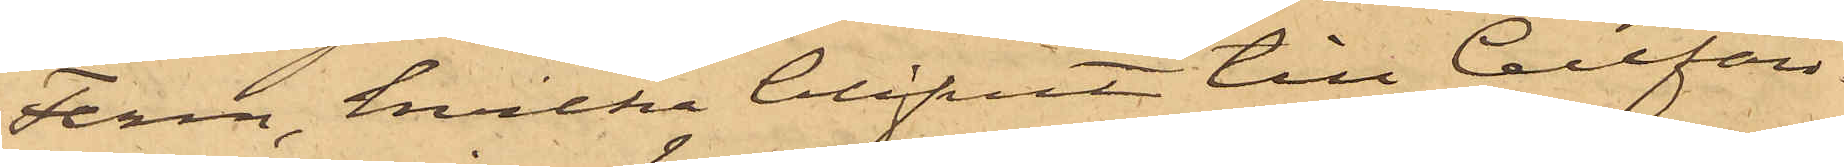Ferm, hvilka blifvit till Cellfän¬
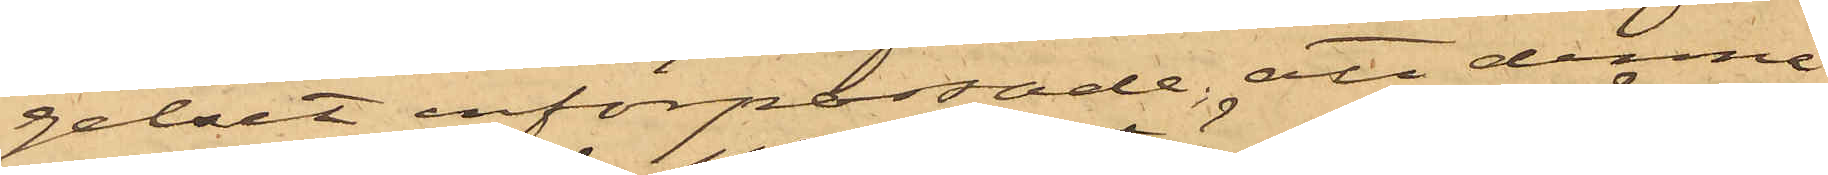gelset införpassade; att denna
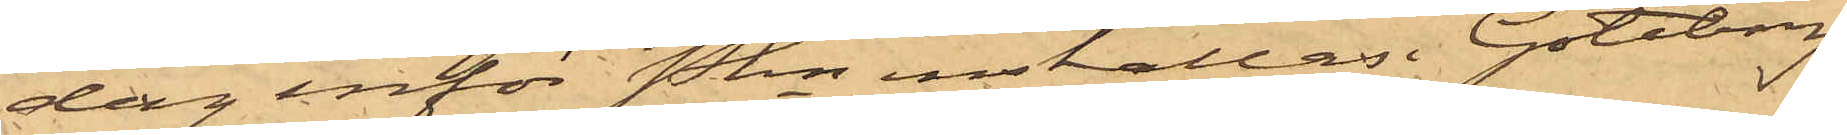dag inför Pkn inställas. Göteborg
